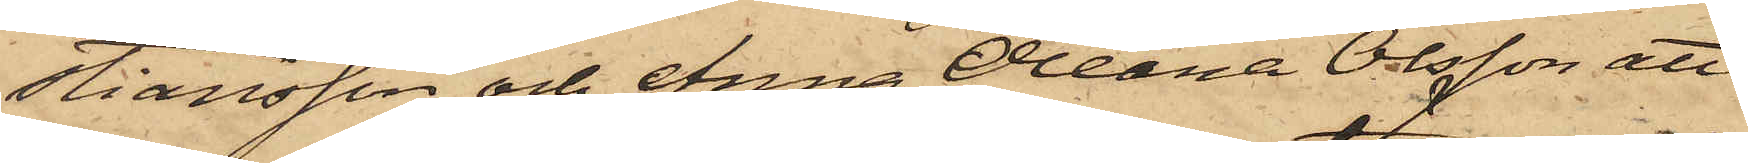stiansson och Anna Oleana Olsson att
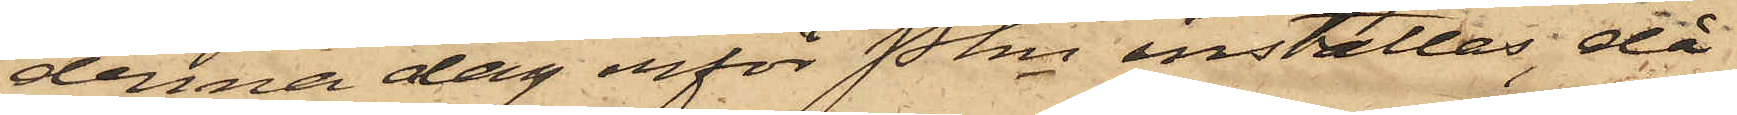denna dag inför Pkn inställas, då
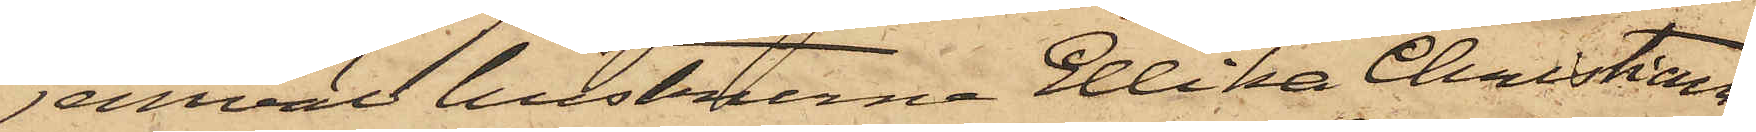jemväl hustrurna Ellika Christians¬
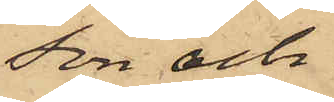son och
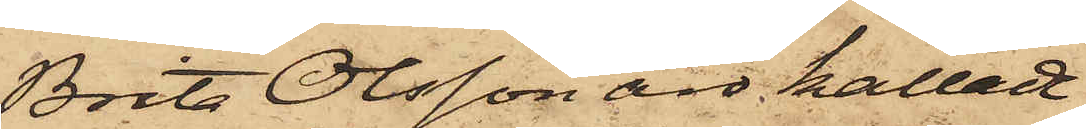Brits Olsson äro kallade
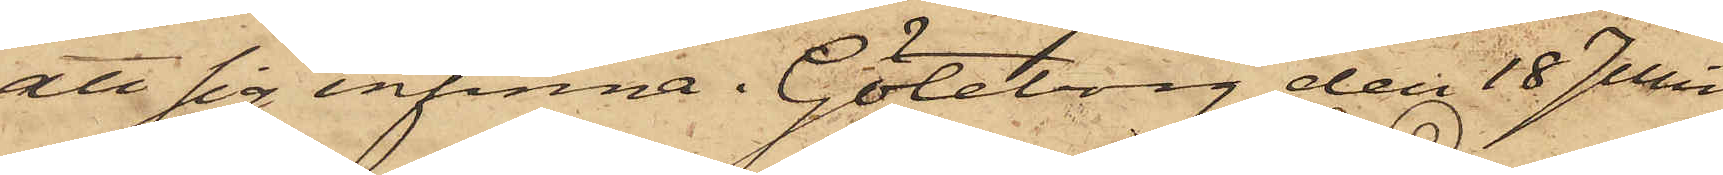att sig infinna. Göteborg den 18 Juni
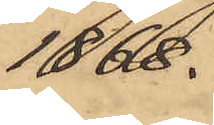1868.
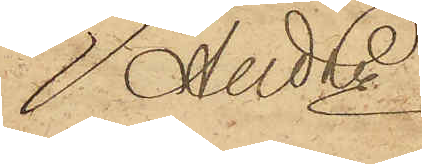And Ln
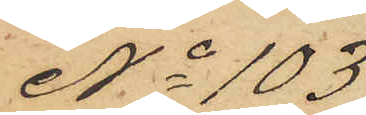No 103
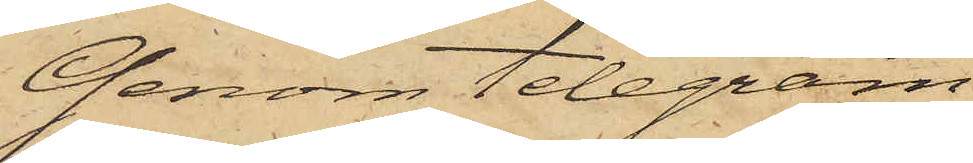Genom telegram
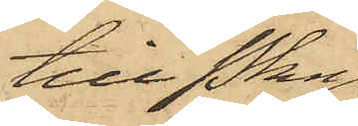till Pkn
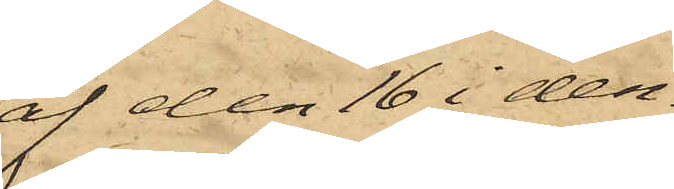af den 16 i den¬
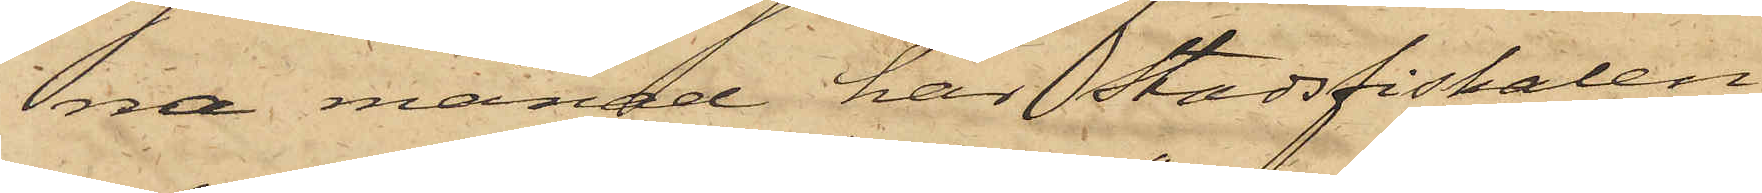na månad har Stadsfiskalen
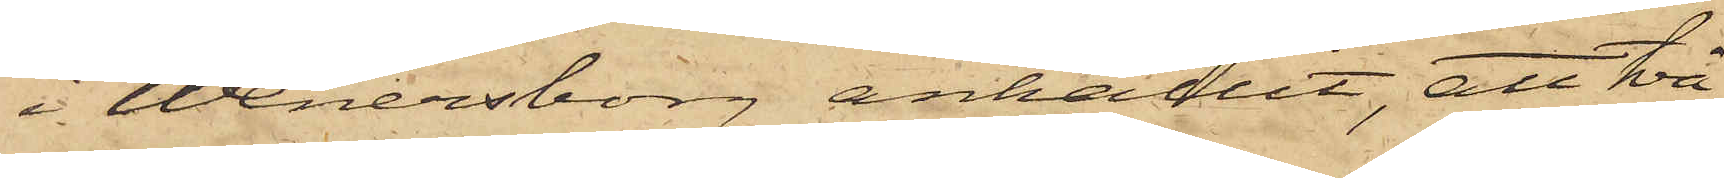i Wenersborg anhållit, att två
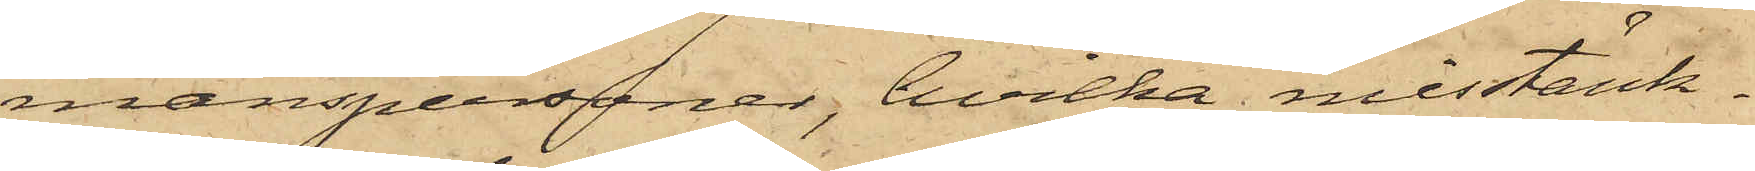manspersoner, hvilka misstänk¬
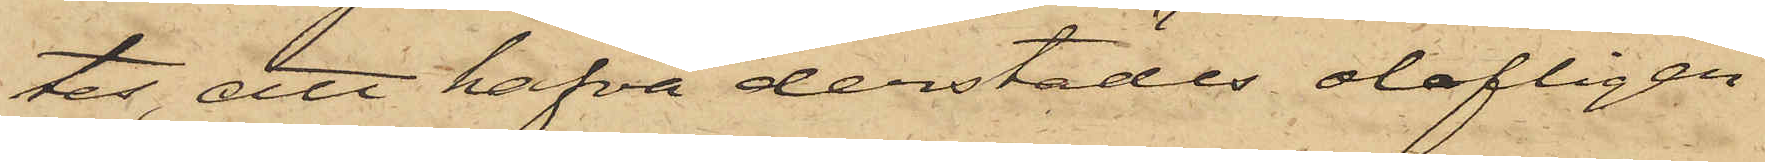tes, att hafva derstädes olofligen
